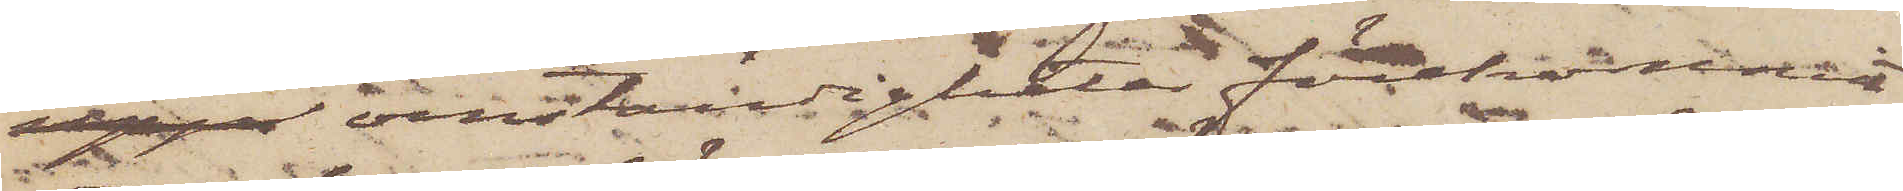uppe omständigheter förekommit
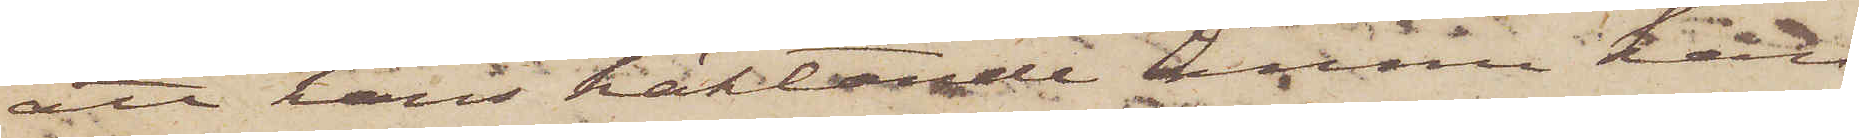att hans häktande ännu kan
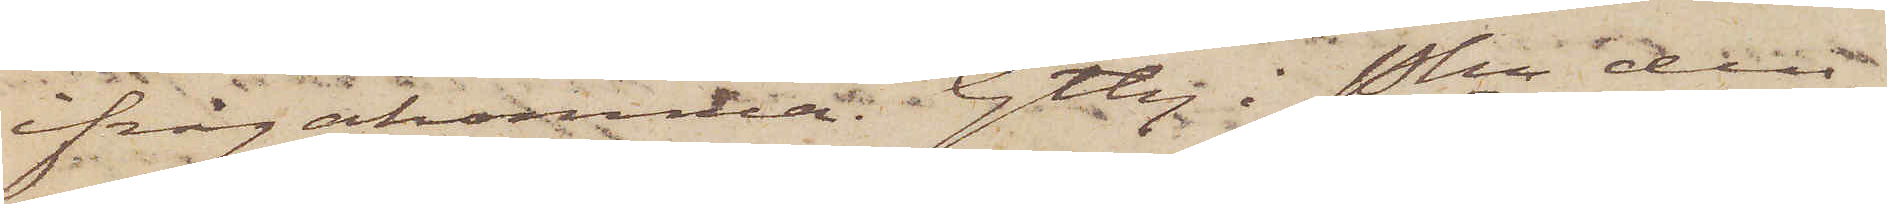ifrågakomna. Gtbg i Pkn den
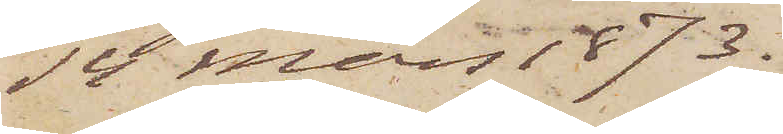14 Mars 1873.
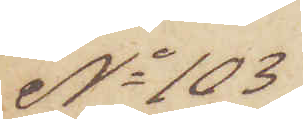No 103
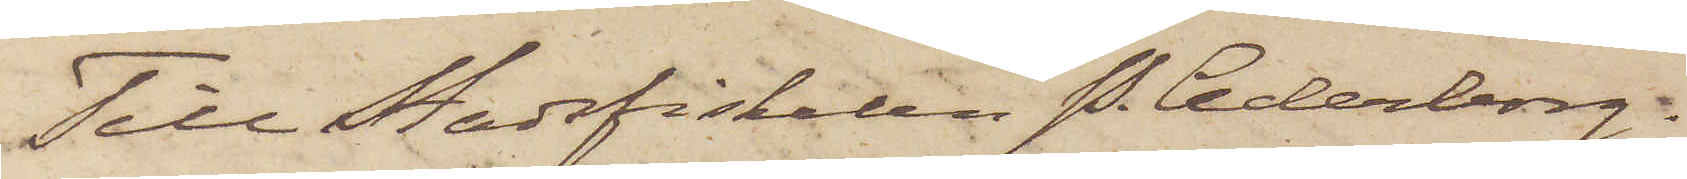Till Stadsfiskalen P. Cederborg.
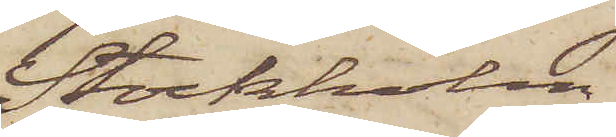Stockholm
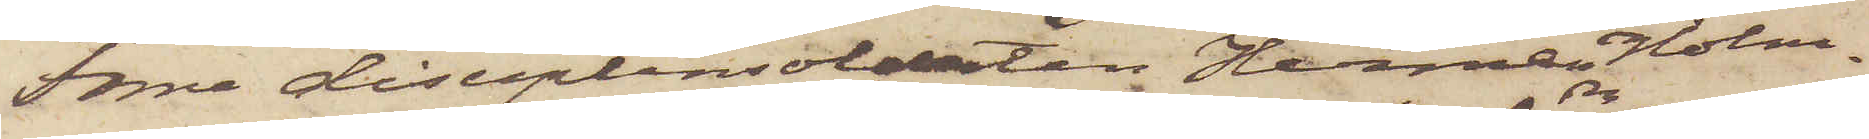Förre disciplinsoldaten Hannes Holm¬
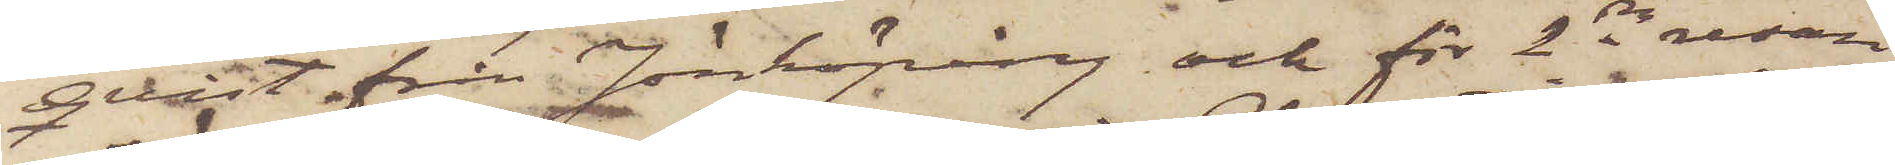qvist från Jönköping och för 2dra resan
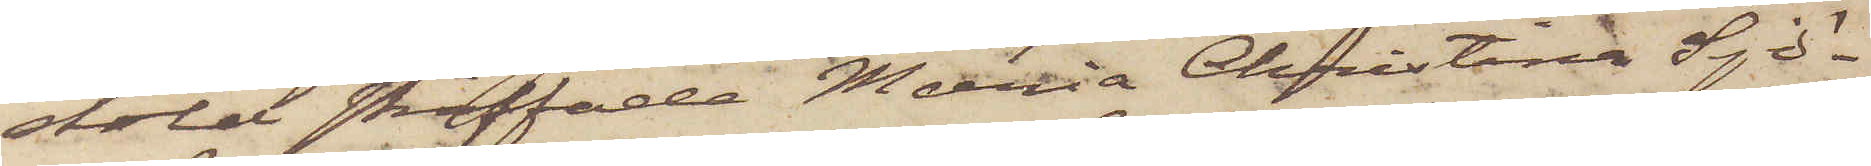stöld straffade Maria Christina Sjö¬
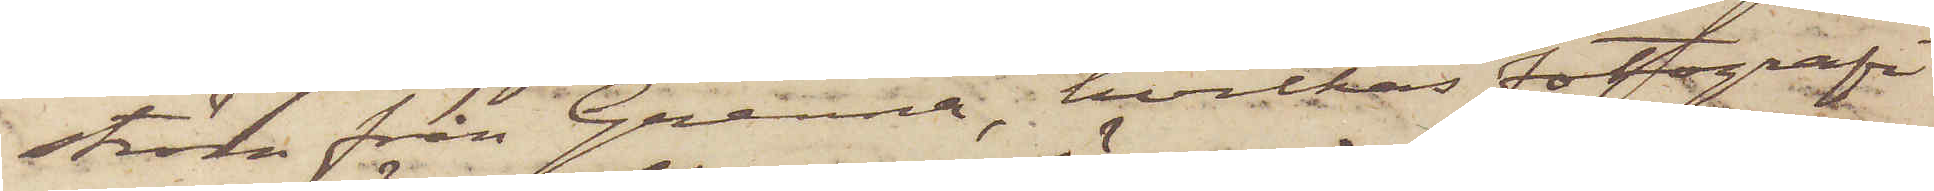ström från Grenna, hvilkas fotografi
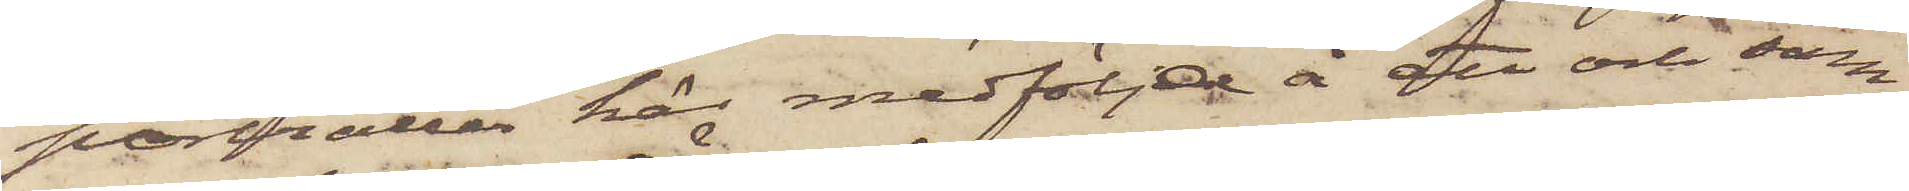porträtter här medfölja å ett och sam¬
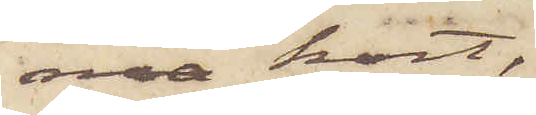ma kort,
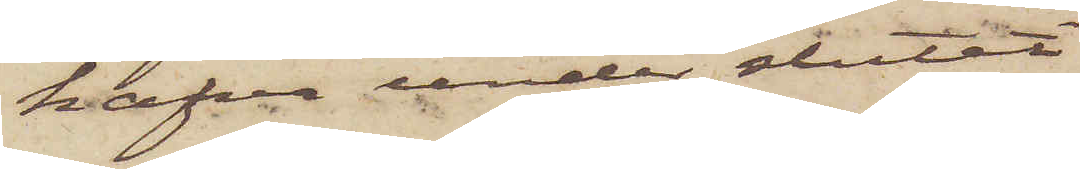hafva under slutet
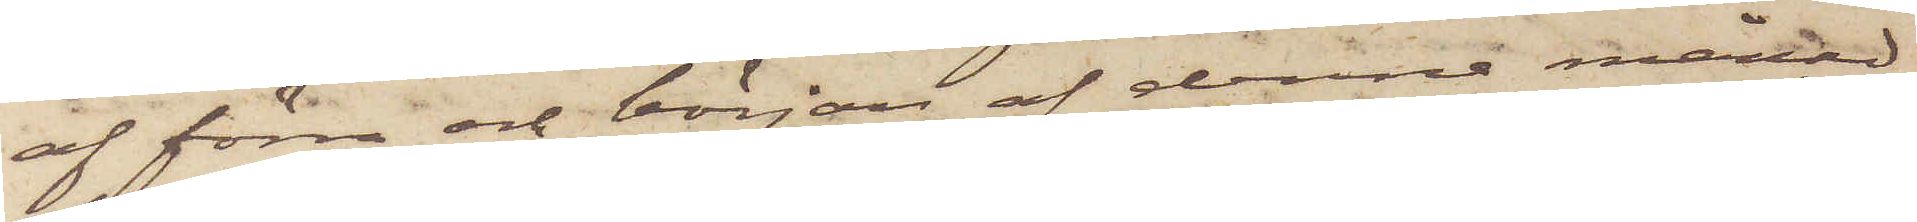af förra och början af denna månad
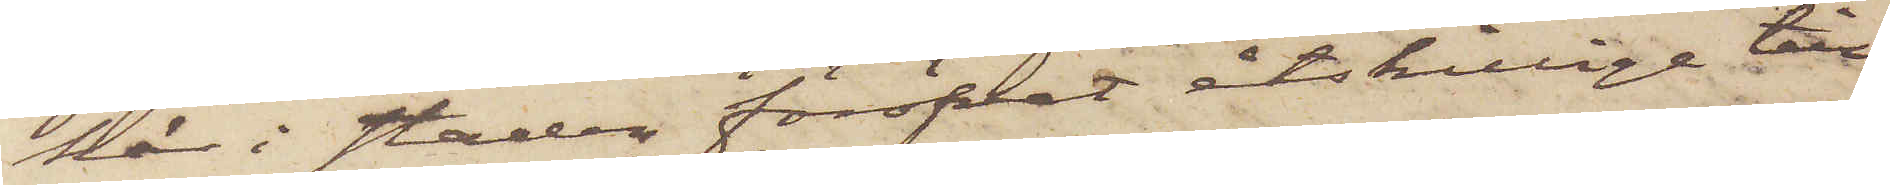här i staden föröfvat åtskillige till¬
